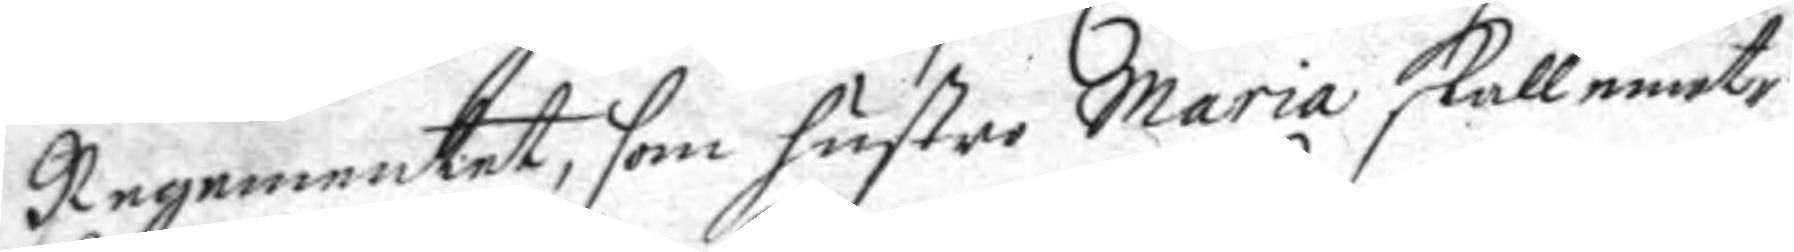Regementet, som hustro Maria skall emot¬
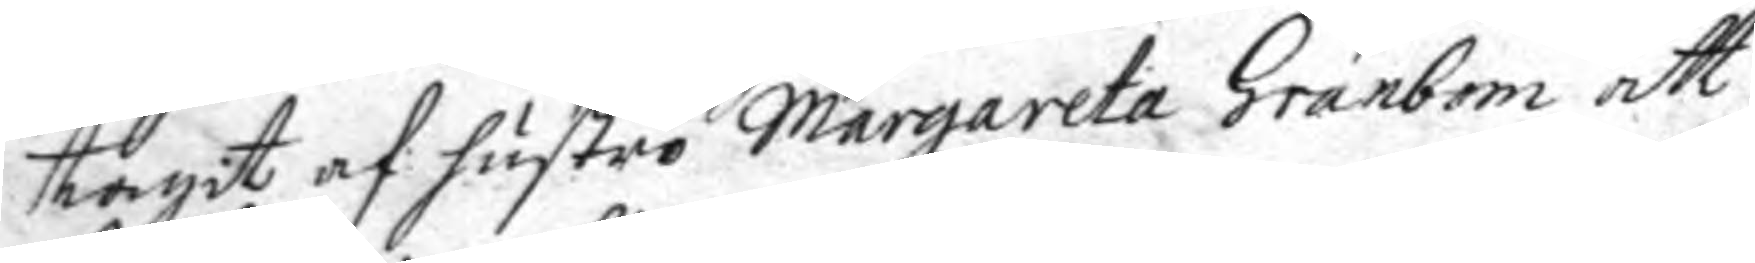tagit af hustro margareta Granbom att
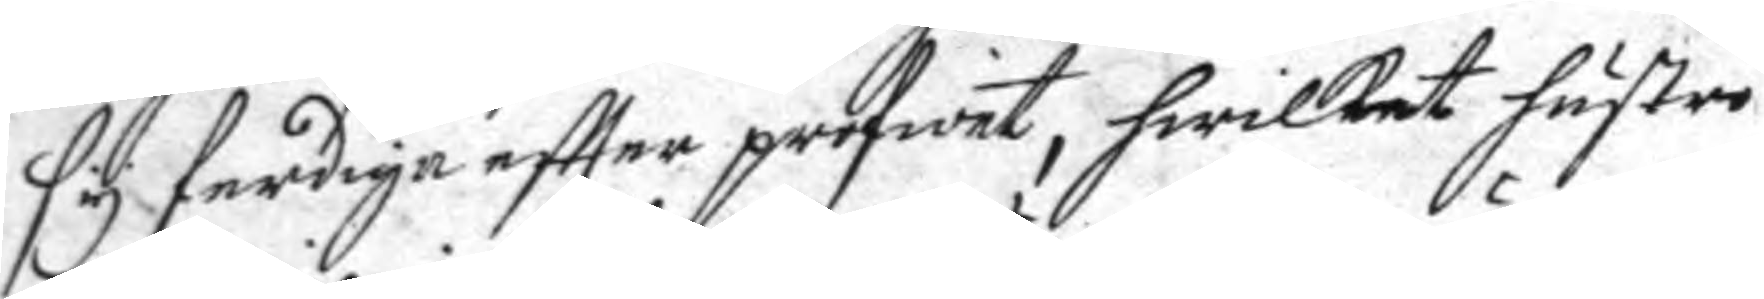sy ferdiga eftter profwet, hwilket husto
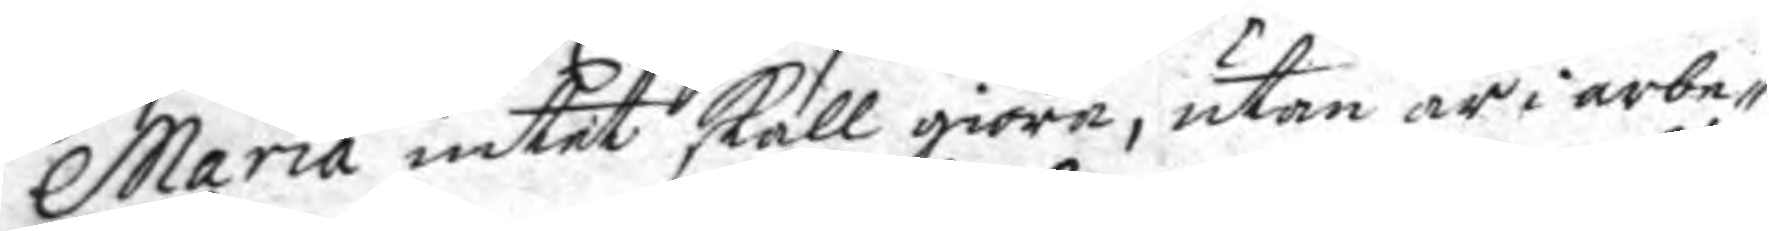Maria intet skall giöra, utan är i arbe¬
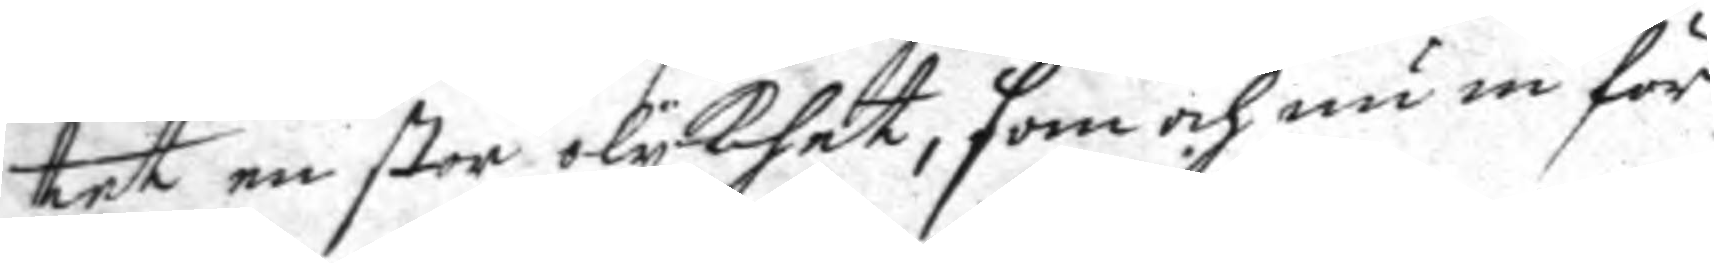tet en stor olykhet, som och nu in för
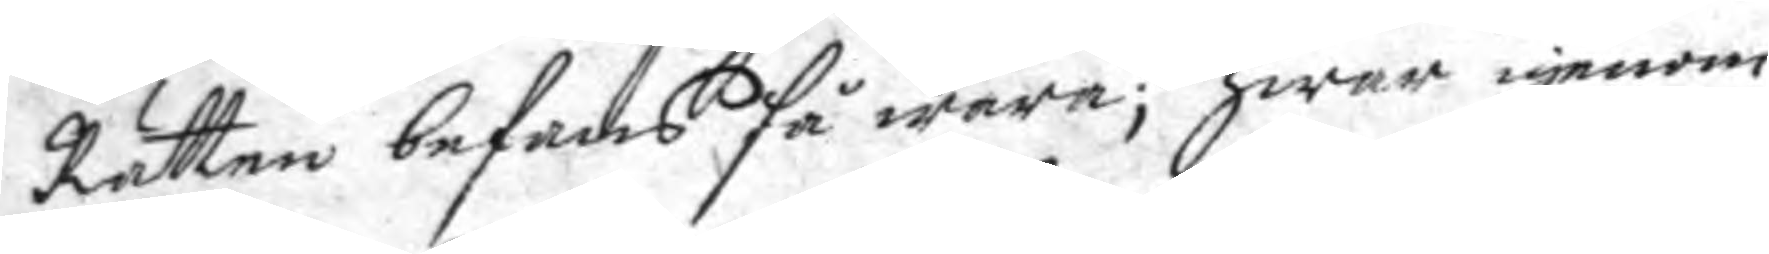Rätten befans så wara: hwar igenom
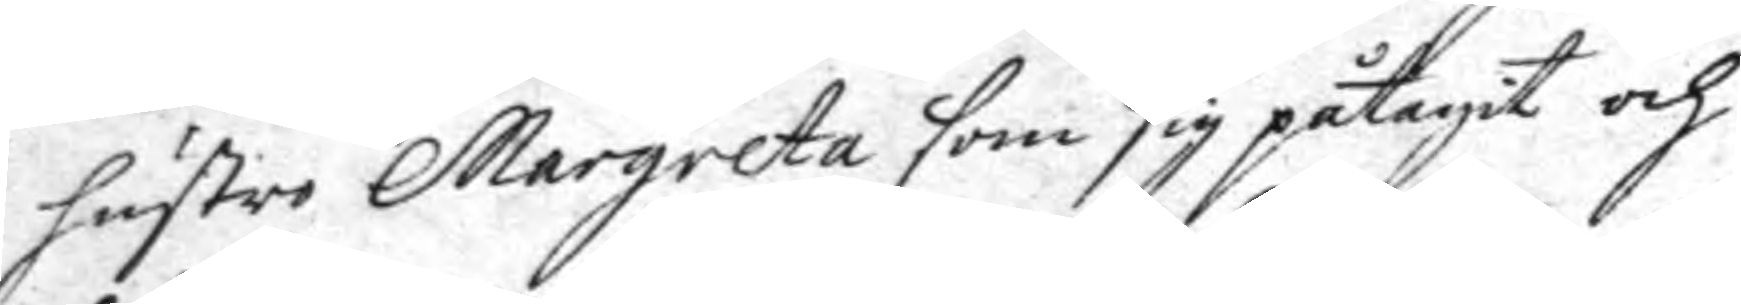hustro Margareta som sig påtagit och
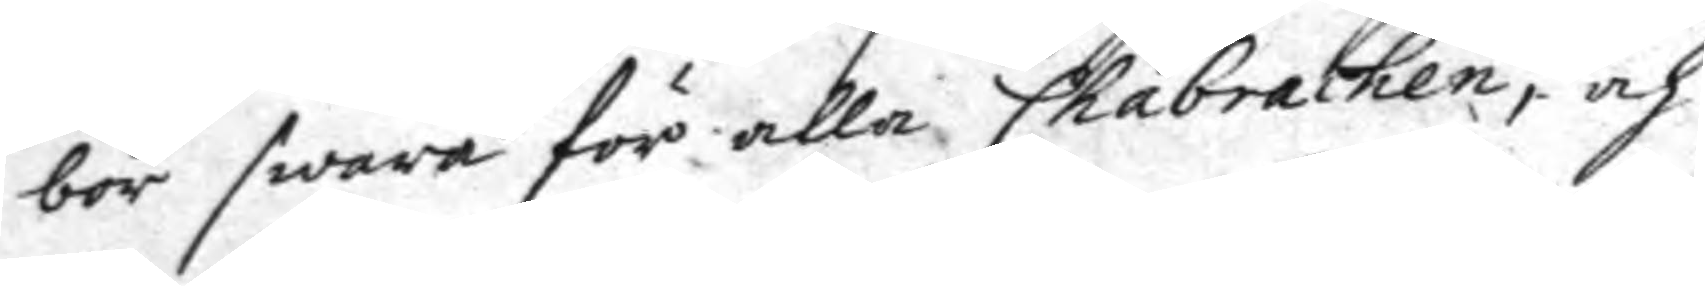bör swara för alla Chabrachen, och
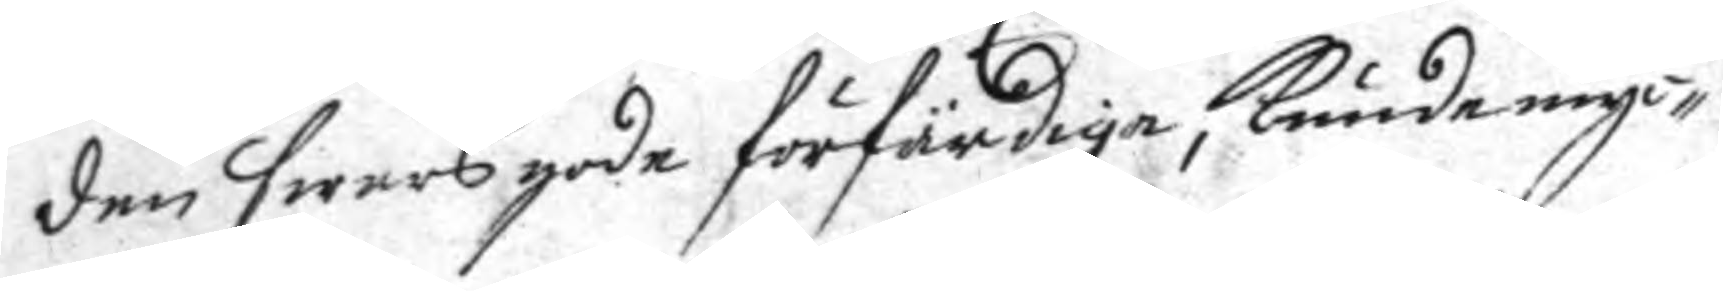den swers gode förfärdiga, kunde my¬
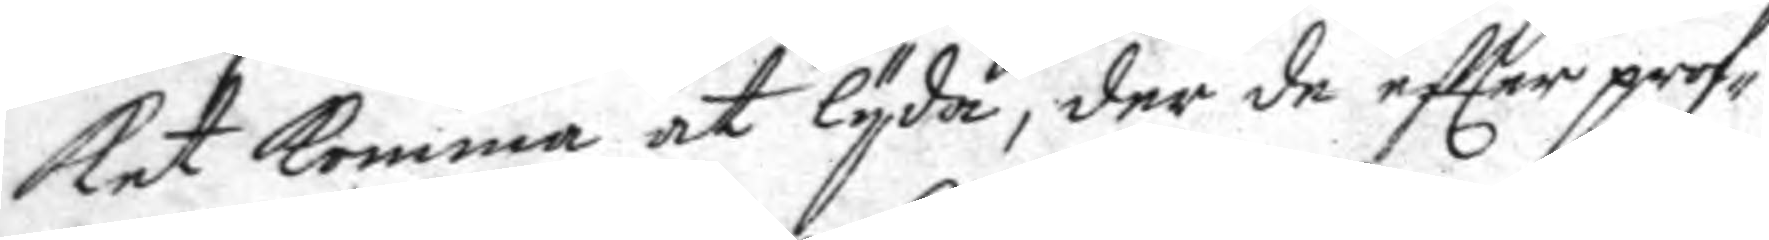ket komma at lyda, der de eftter prof¬
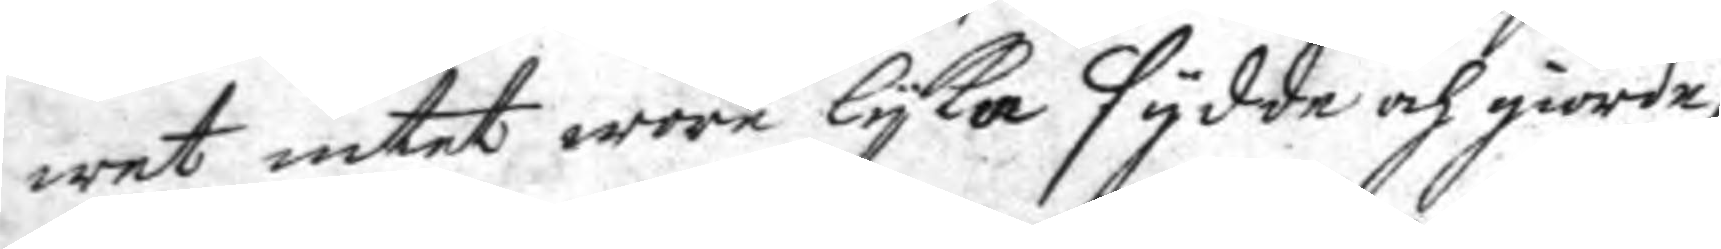wet intet wore lyka sydde och giorde,
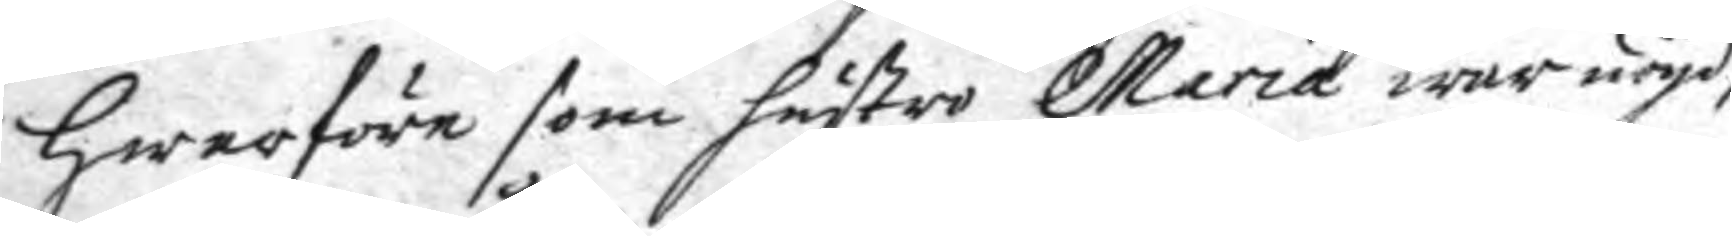hwarföre som hustro Maria war nöyd,
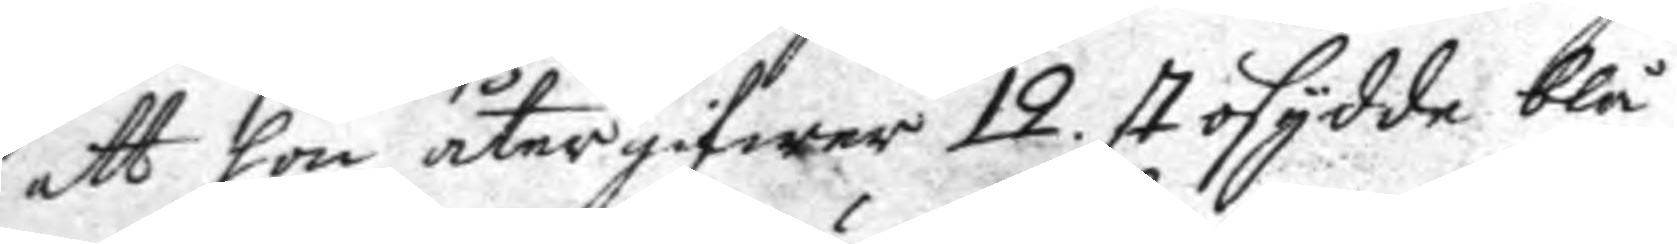att hon återgifwer 12. st. osydde blå
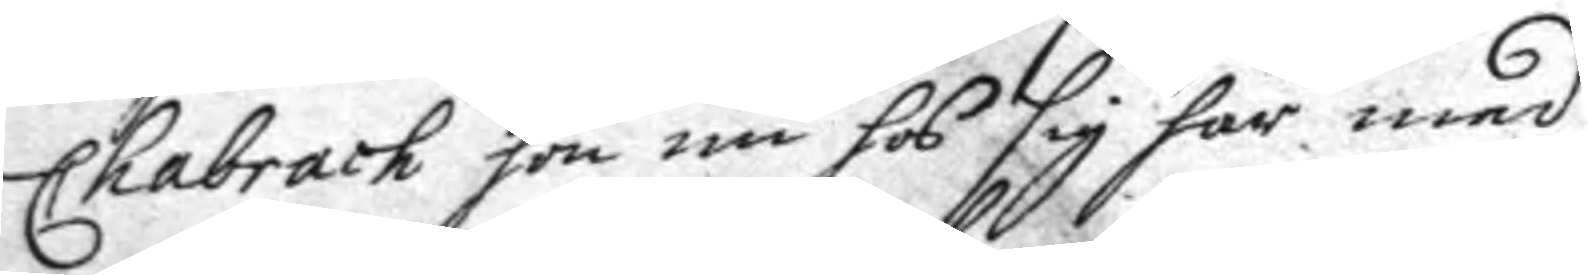Chabrach hon nu hos sig har med
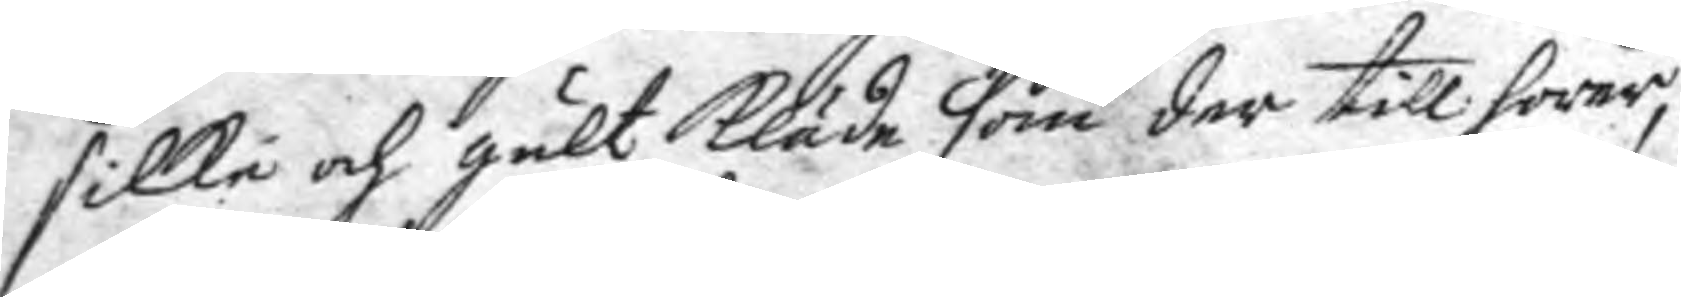silke och gult kläde som der till hörer,
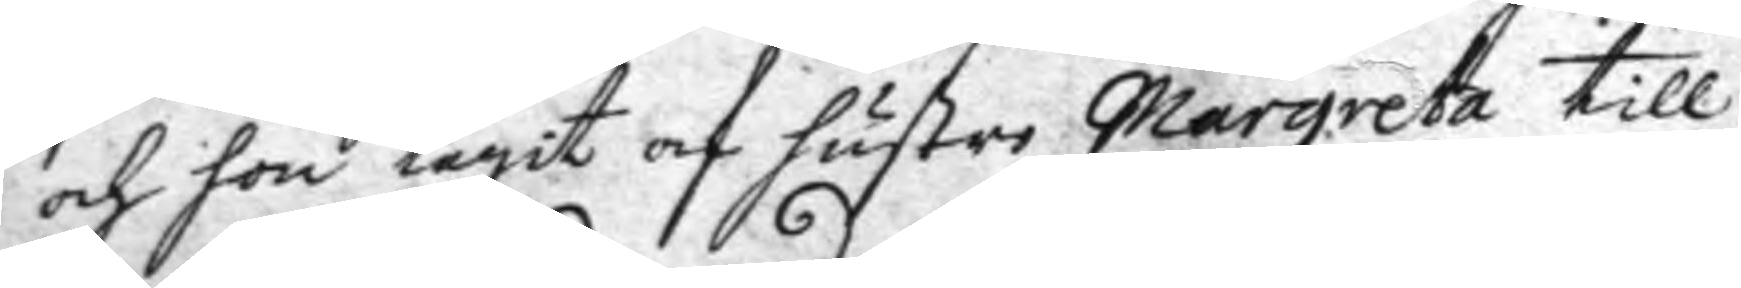och hon tagit af hustro Margareta till
